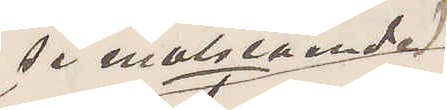(se motstående)
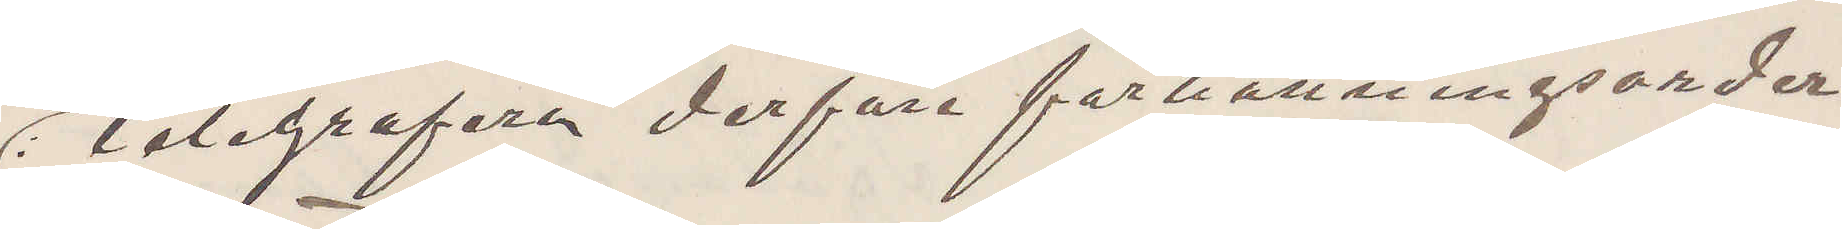Telegrafera derföre förhållningsorder
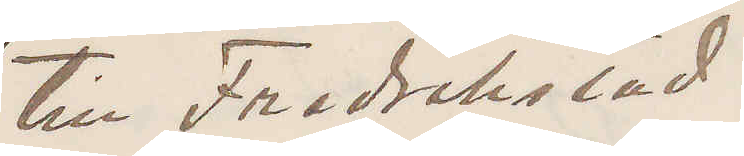till Fredrikstad.
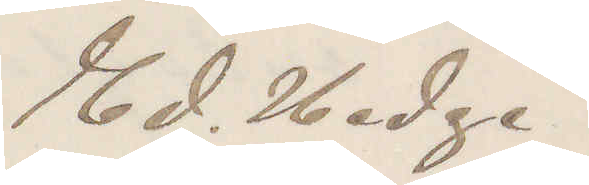Ed. Hedge.
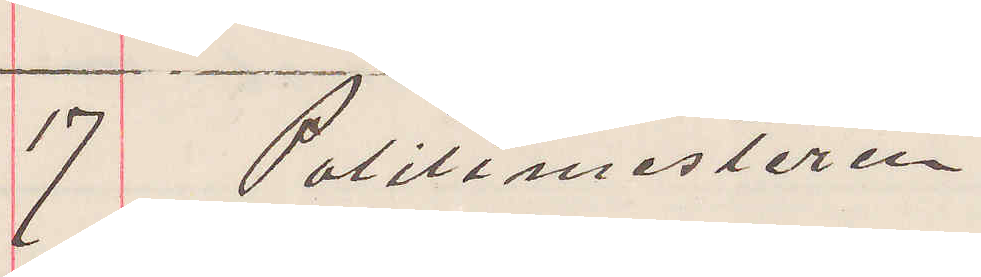17 politimesteren.
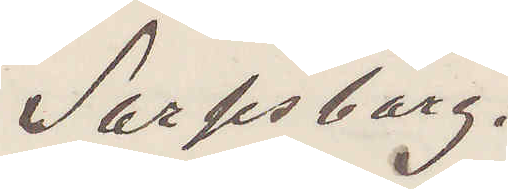Sarpsborg.
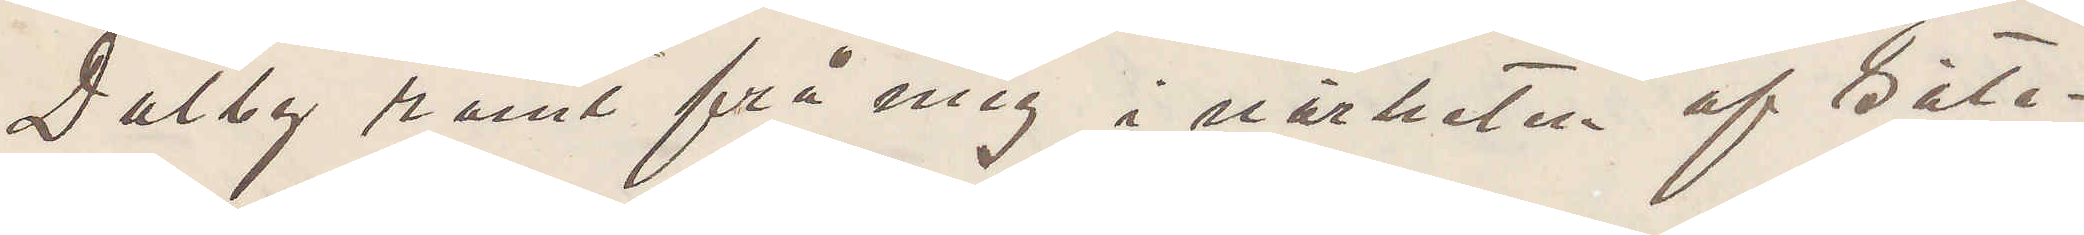Dalby römt frå mig i närheten af Båte¬
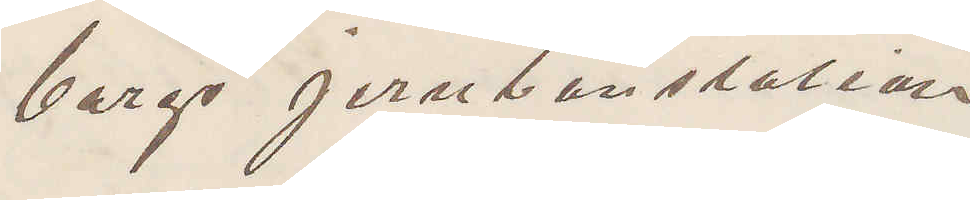bergs jernbanstation.
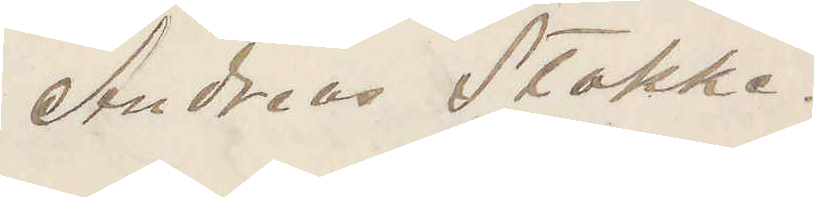Andreas Stokke.
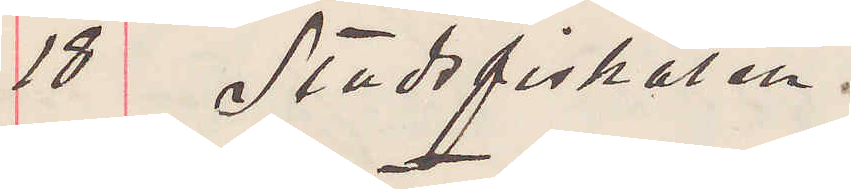18 Stadsfiskalen.
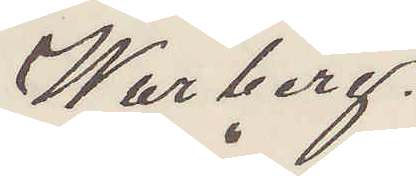Warberg.
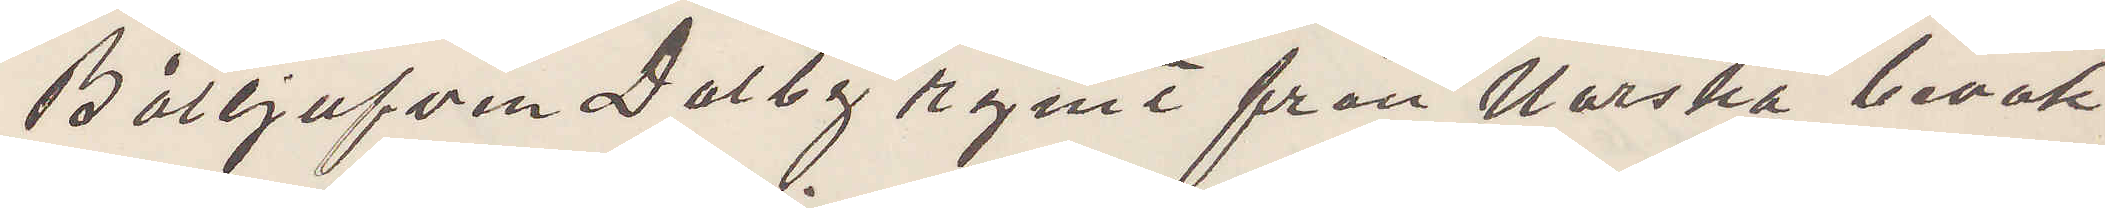Båttjufven Dalby rymt från Norska bevak¬
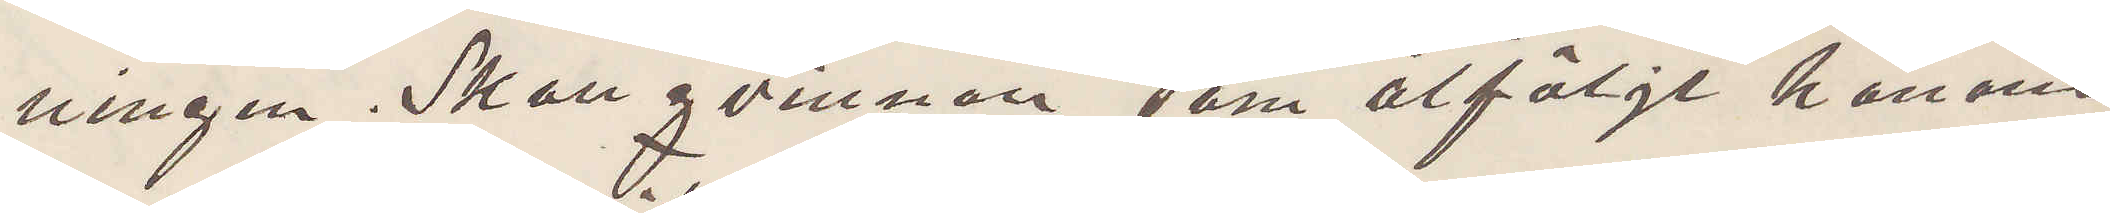ningen. Skall qvinnan som åtföljt honom
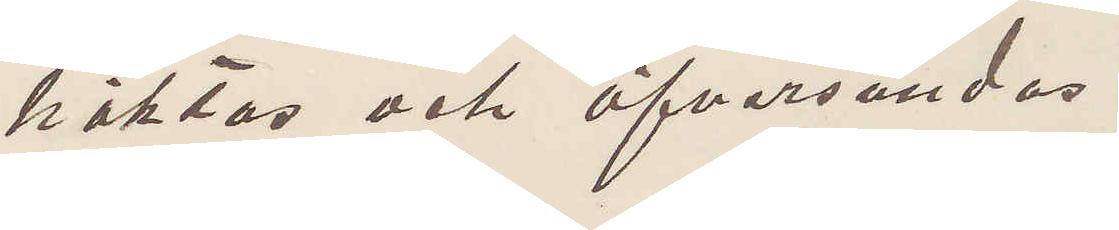häktas och öfversändas?
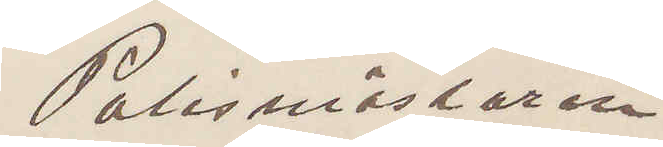Polismästaren
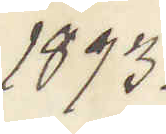1893.
